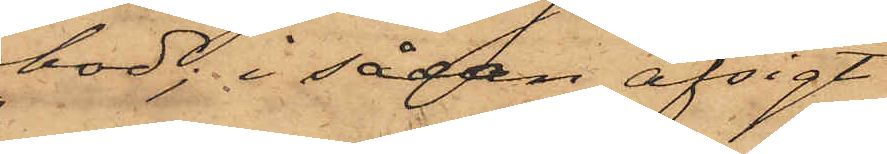bod; i sådan afsigt
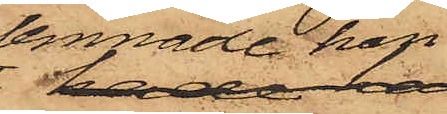lemnade han
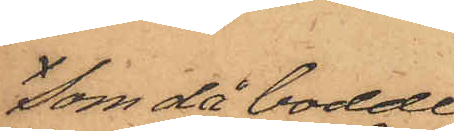som då bodde
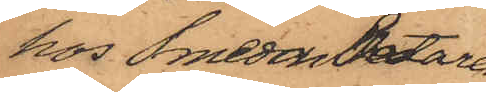hos Smedarbetaren
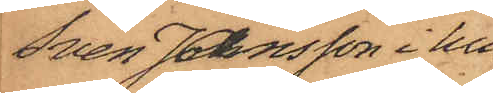Sven Jansson i hu¬
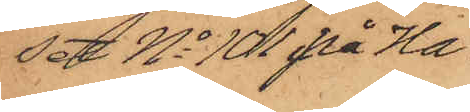set No 101 på Ha¬
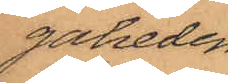gaheden
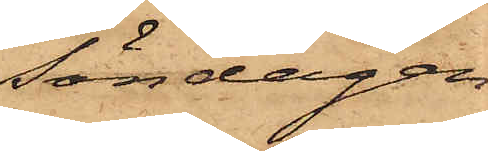Söndagen
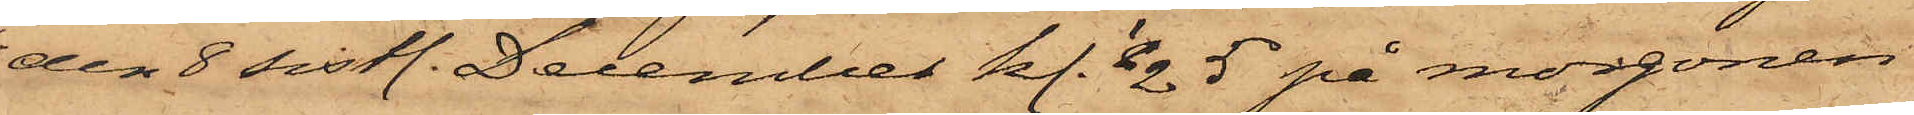den 8 sistl. December kl. 1/2 5 på morgonen
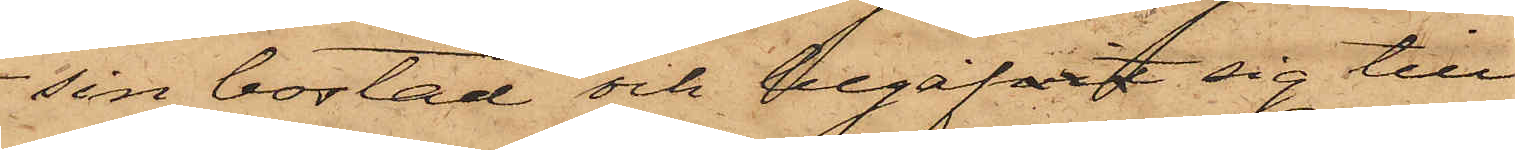sin bostad och begafvit sig till
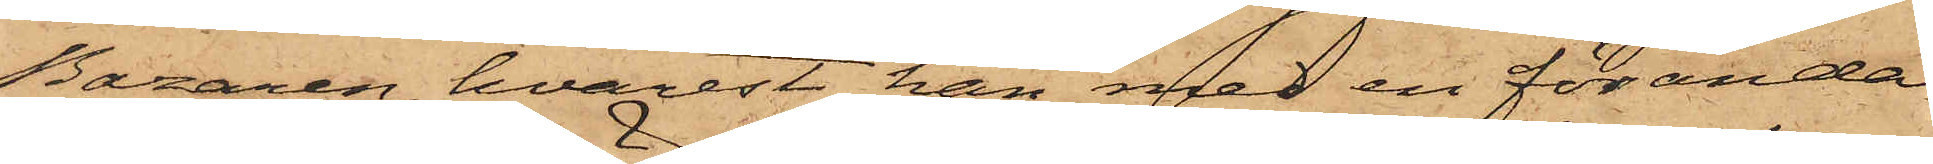Bazaren, hvarest han med en för ända¬
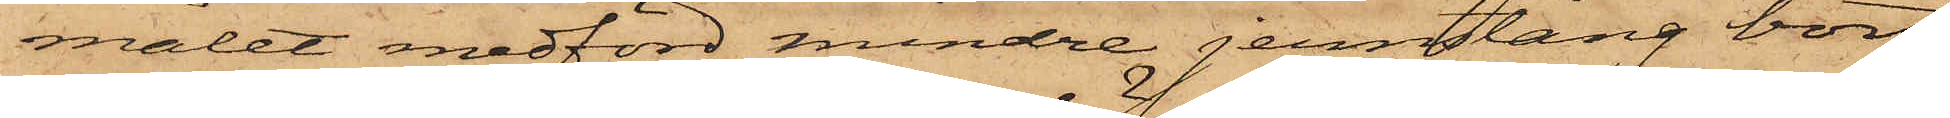målet medförd mindre jernstång bort¬
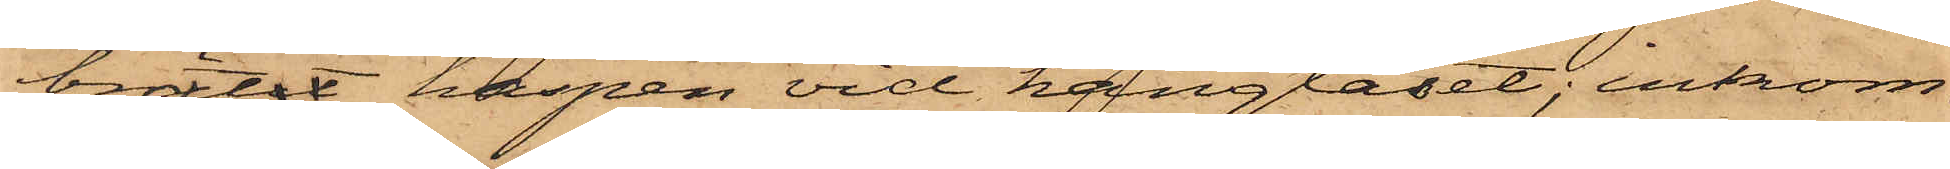brötit haspen vid hänglåset; inkom¬
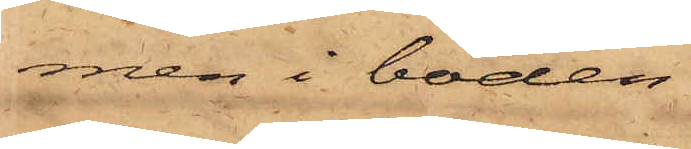men i boden
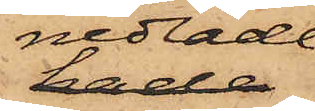nedlade
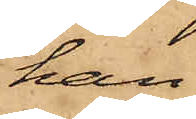han
